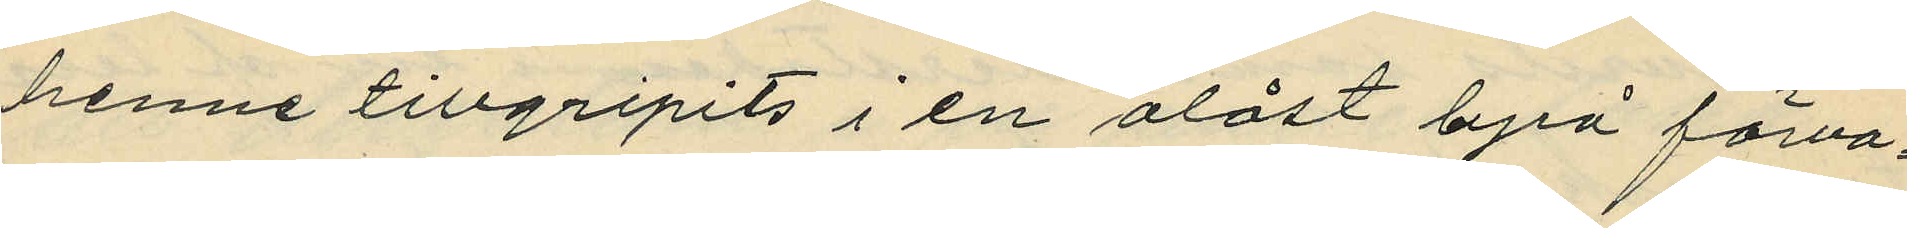henne tillgripits i en olåst byrå förva¬
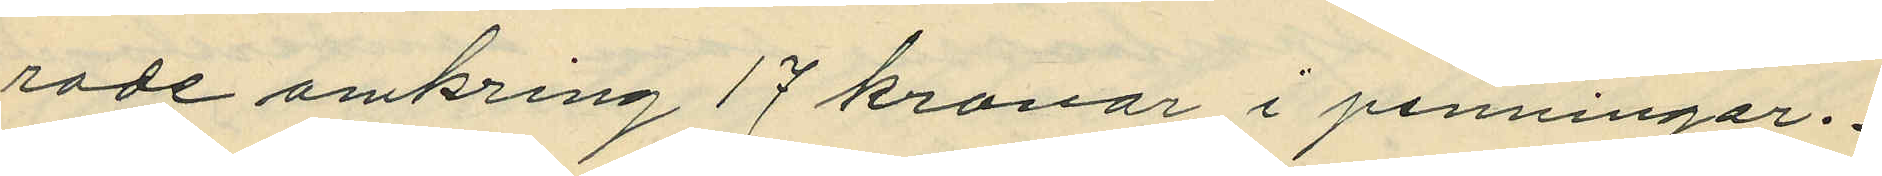rade omkring 17 kronor i penningar.
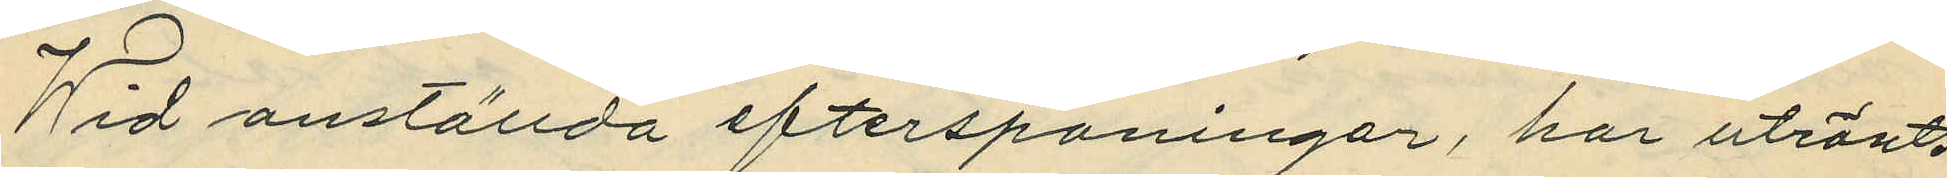Wid anställda efterspaningar, har utrönts
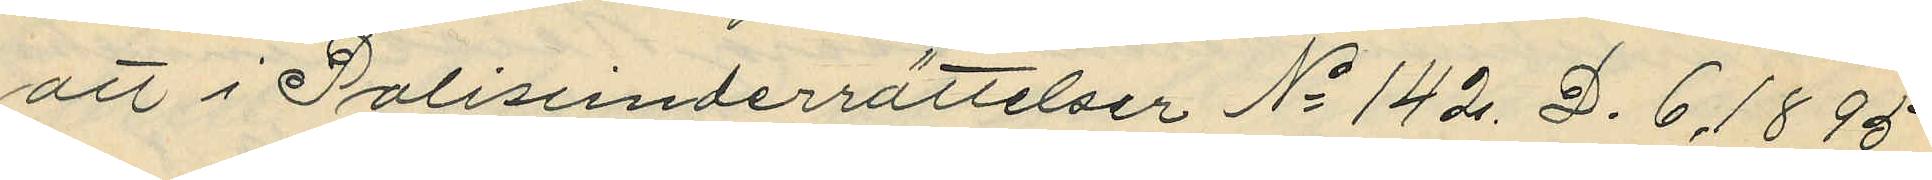att i Polisunderrättelser No 142. D. 6. 1895
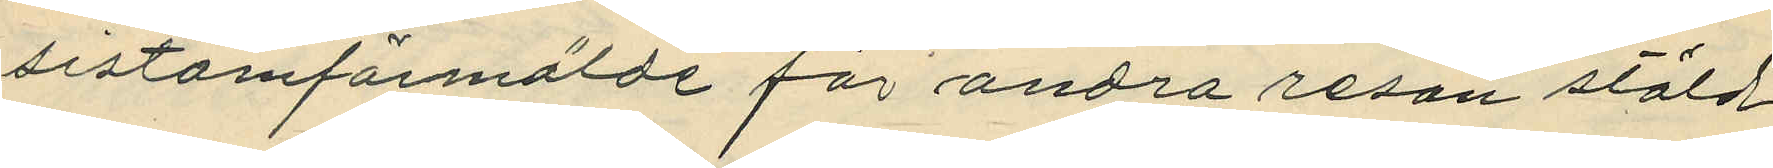sistomförmälde för andra resan stöld
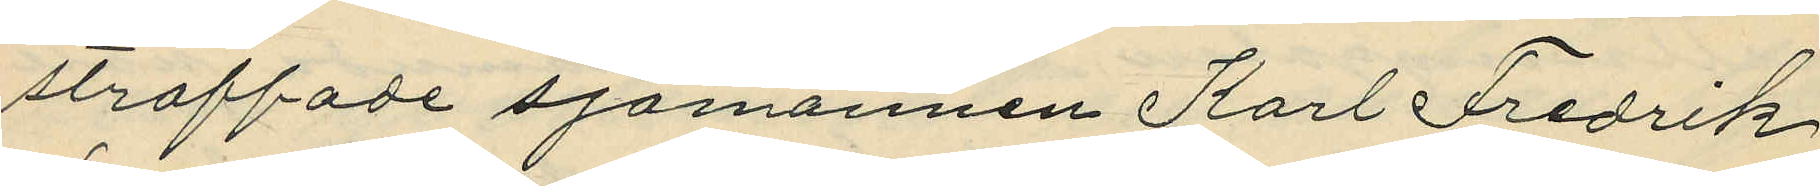straffade sjömannen Karl Fredrik
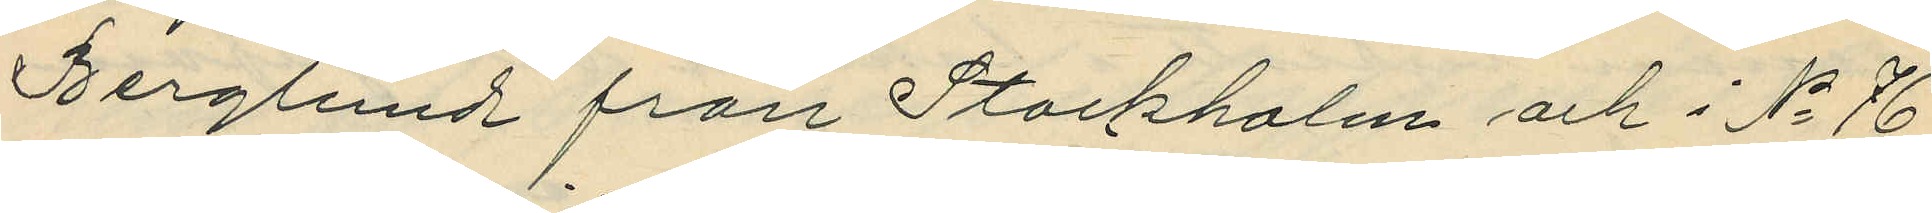Berglund från Stockholm och i No 76
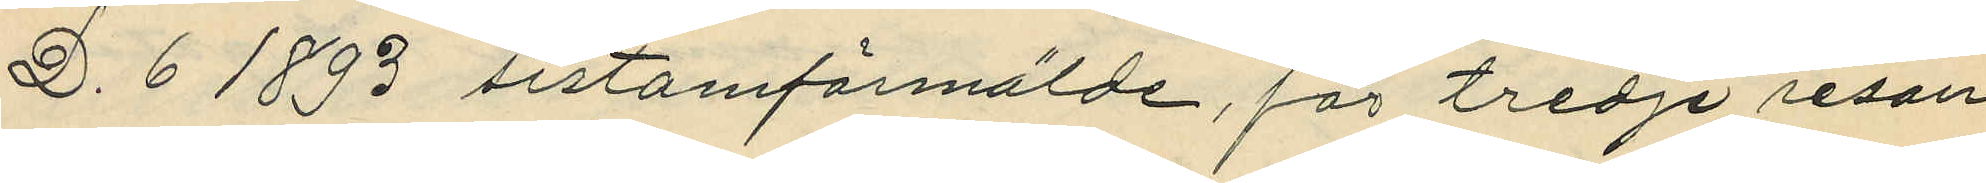D. 6 1893 sistomförmälde, för tredje resan
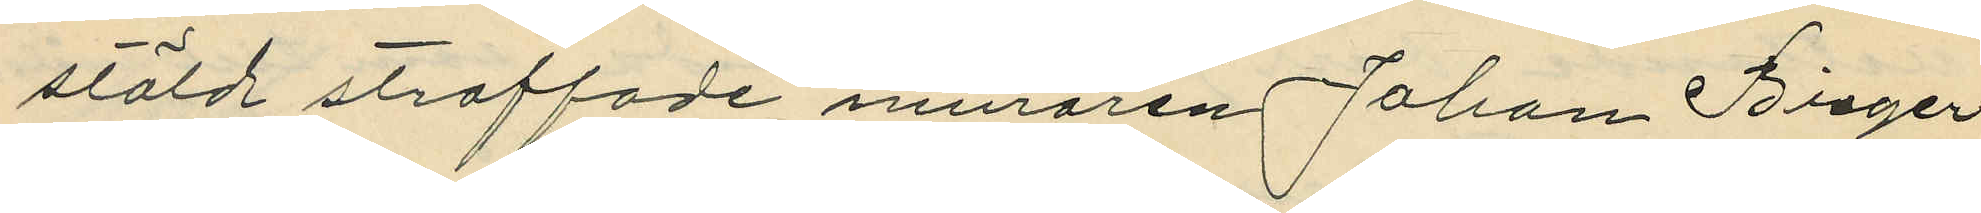stöld straffade muraren Johan Birger
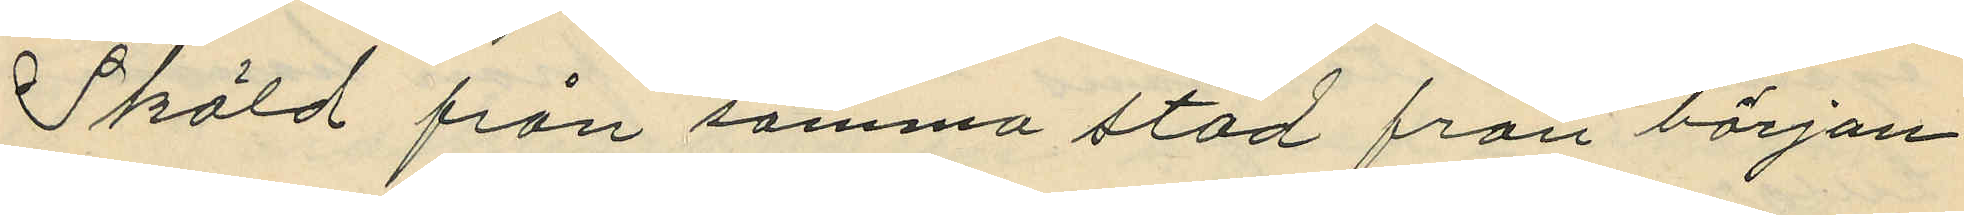Sköld från samma stad från början
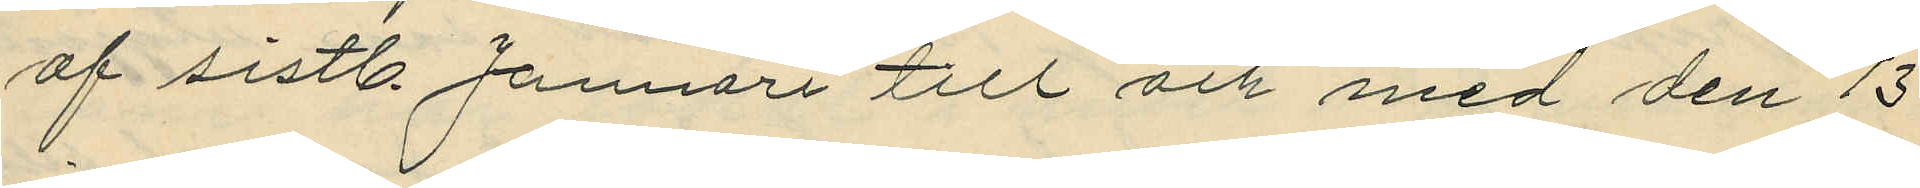af sistl. Januari till och med den 13
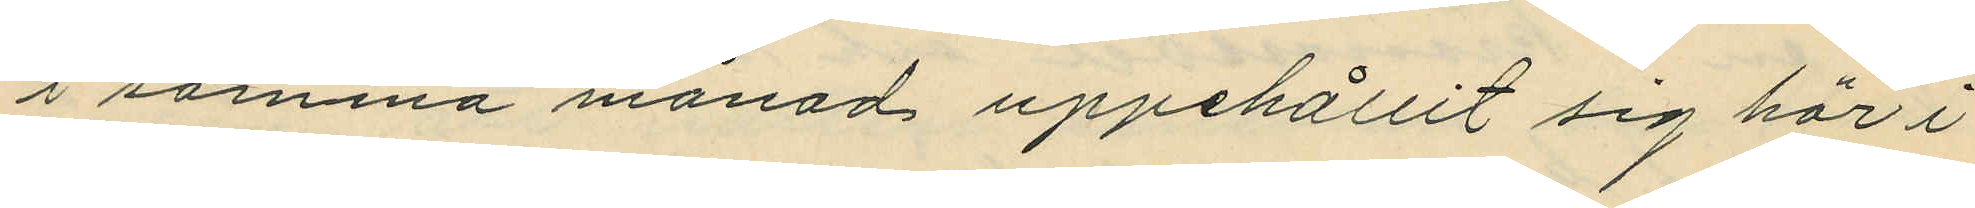i samma månad uppehållit sig här i
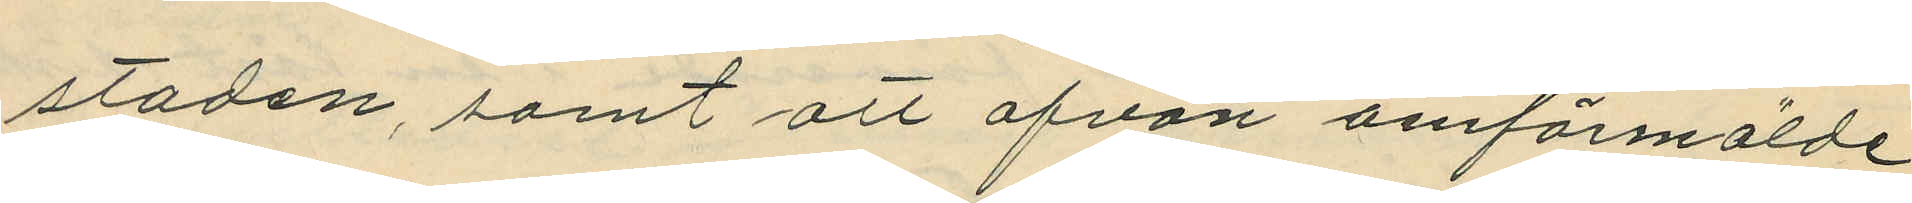staden, samt att ofvan omförmälde
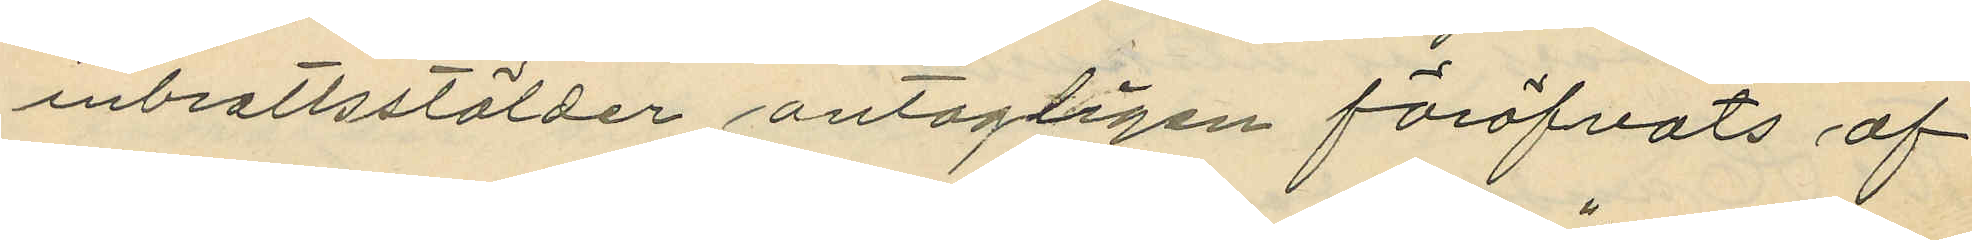inbrottsstölder antagligen föröfvats af
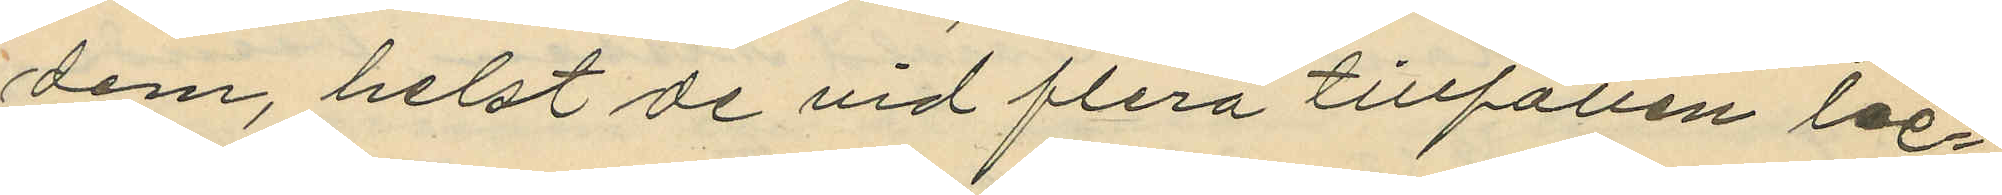dem, helst de vid flera tillfällen be¬
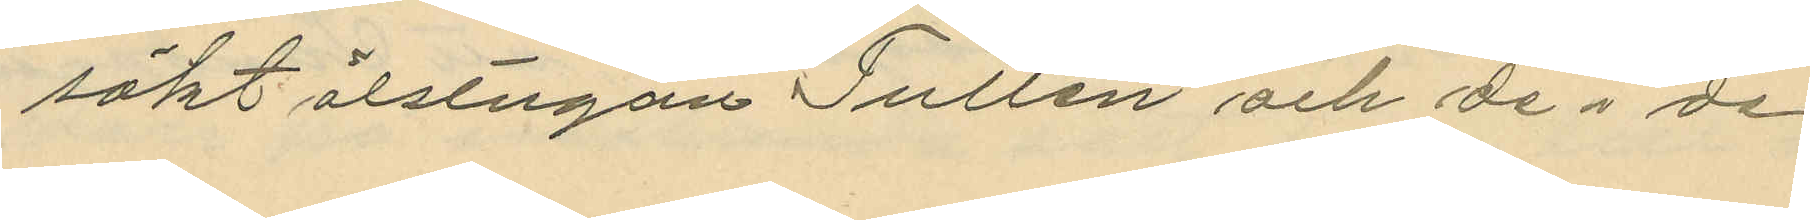sökt ölstugan "Tullen" och de i de
